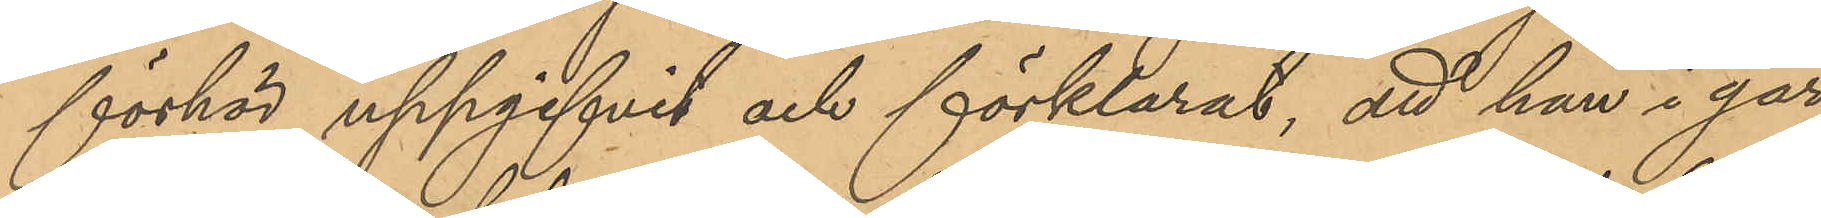förhör uppgifvit och förklarat, att han i går
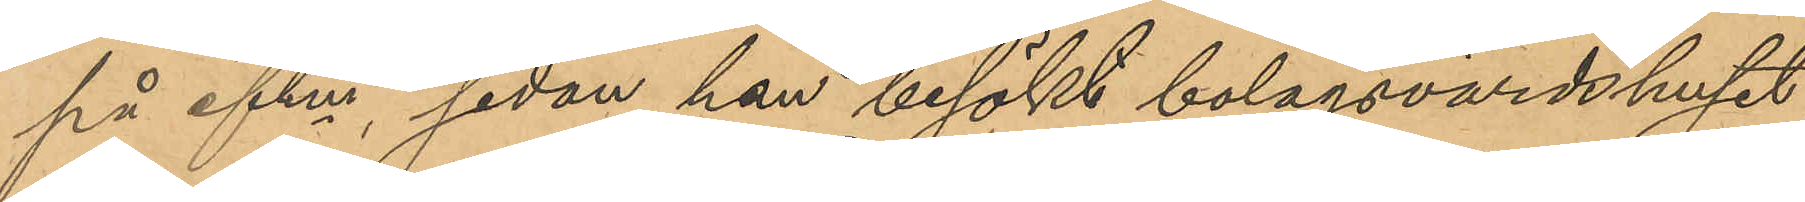på eftm, sedan han besökt bolagsvärdshuset
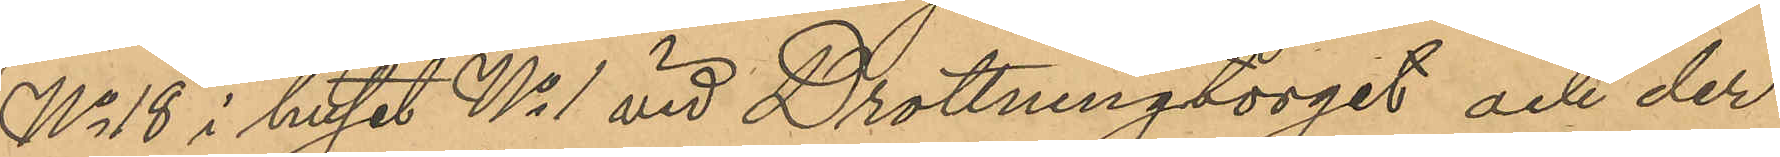No 18 i huset No 1 vid Drottningtorget och der
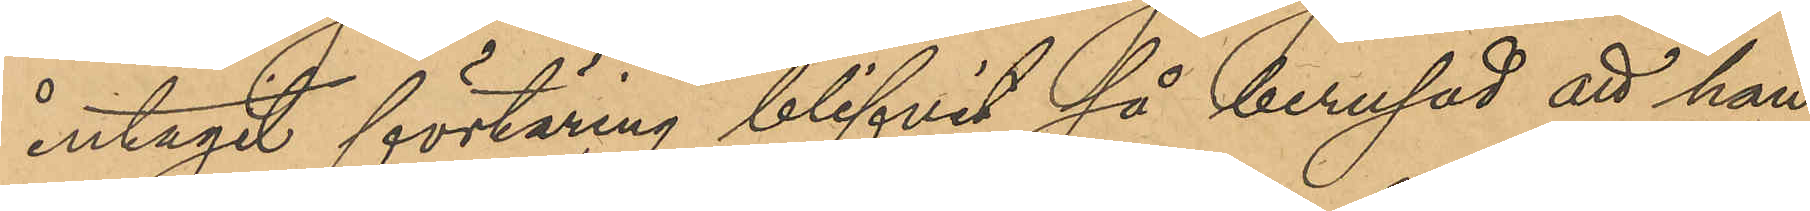intagit förtäring blifvit så berusad att han
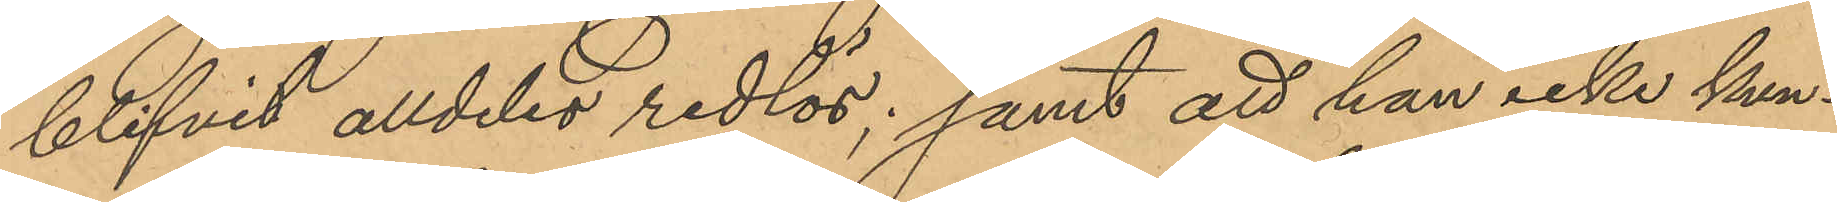blifvit alldeles redlös; samt att han icke kun¬
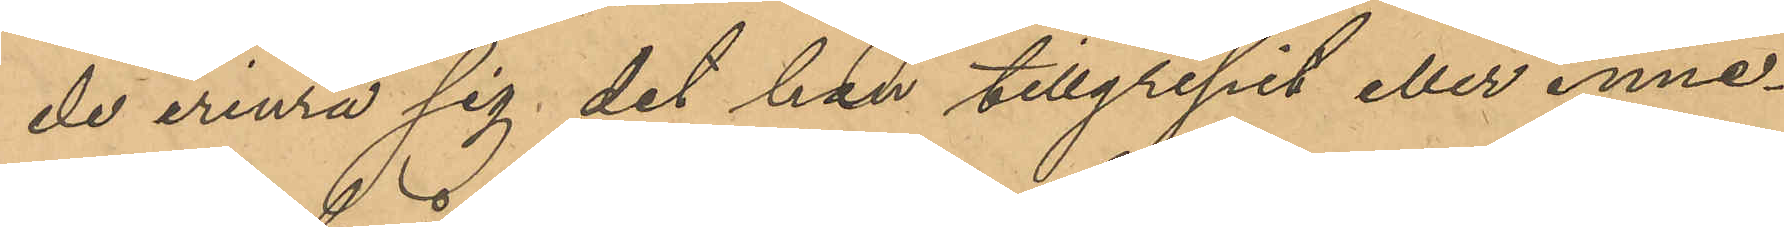de erinra sig det han tillgripit eller inne¬
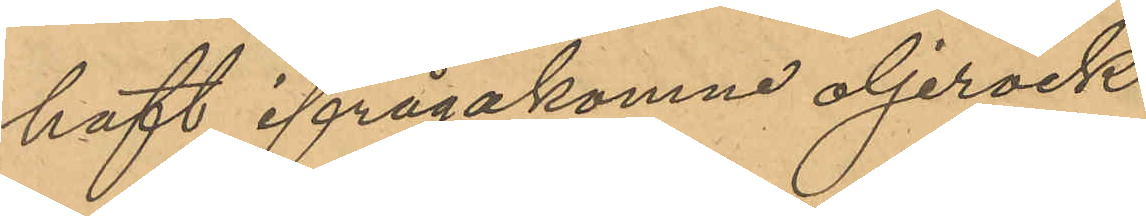haft ifrågakomne oljerock.
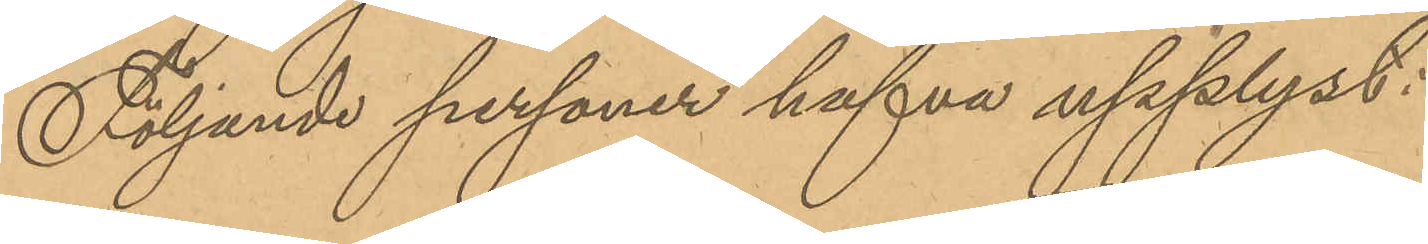Följande personer hafva upplyst:
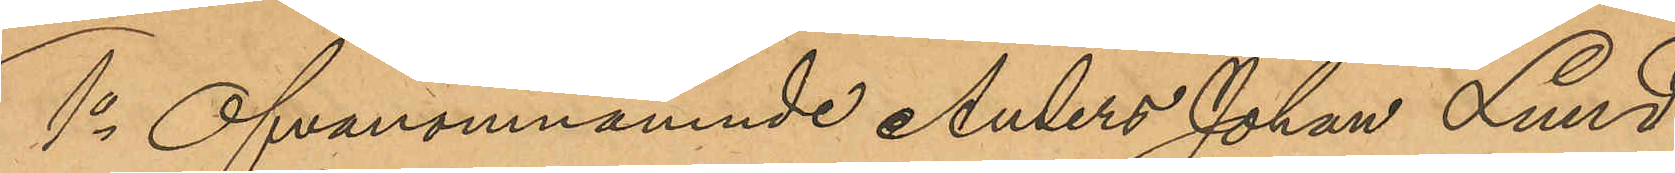1o Ofvannämnde Anders Johan Lund,
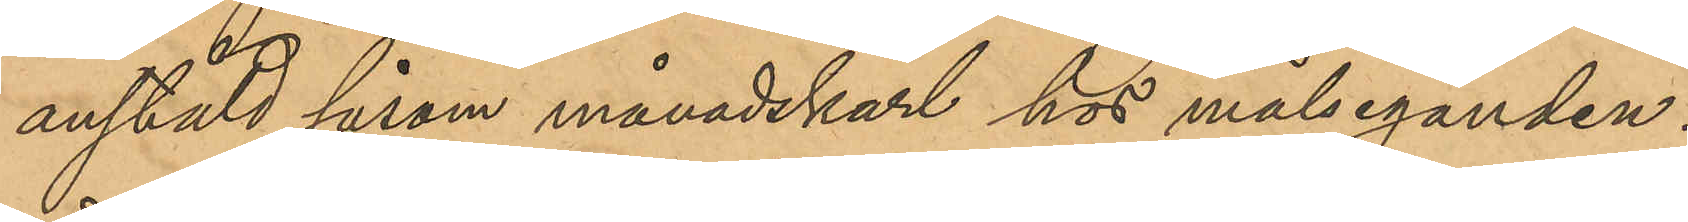anstäld såsom månadskarl hos målseganden:
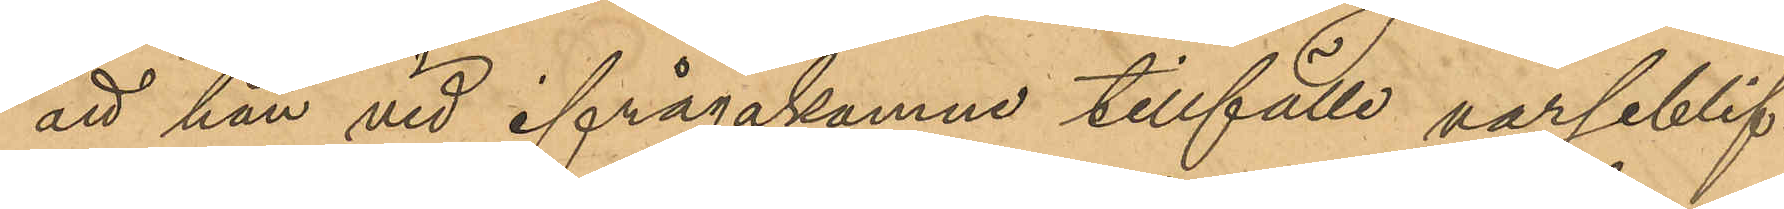att han vid ifrågakomne tillfälle varseblif¬
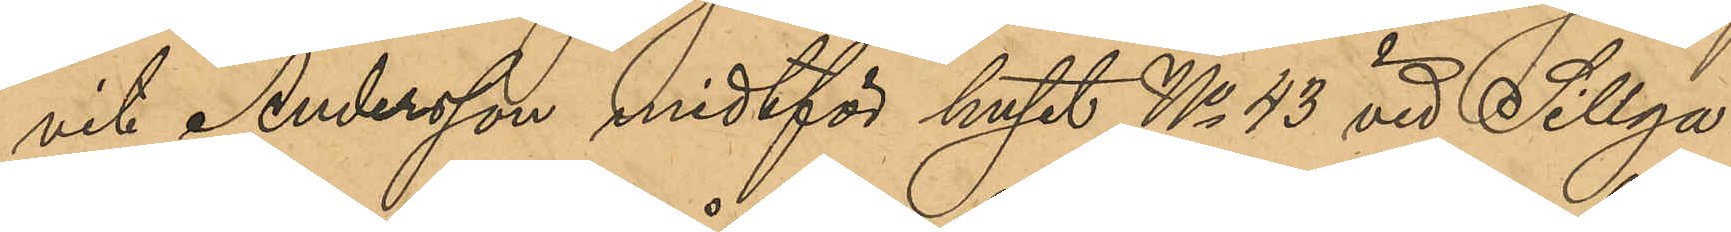vit Andersson midtför huset No 43 vid Sillga¬
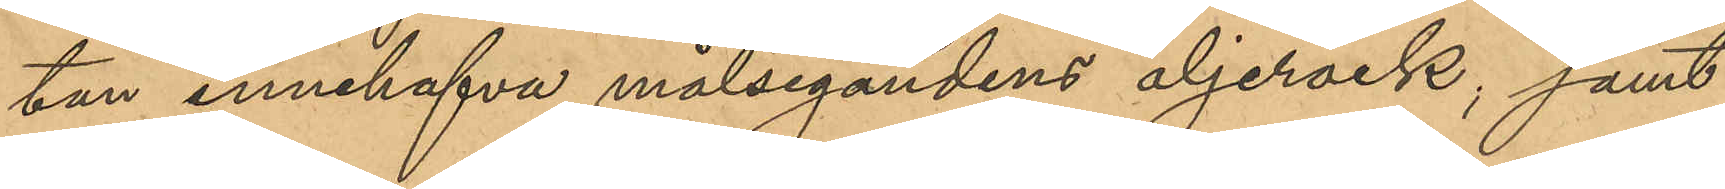tan innehafva målsegandens oljerock; samt
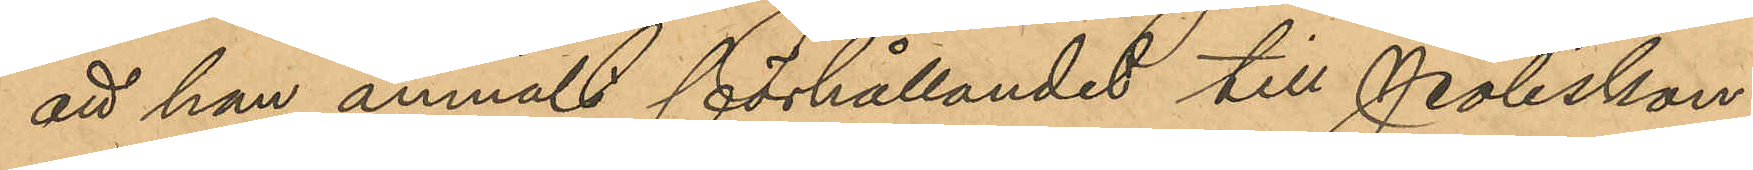att han anmält förhållandet till Poliskon¬
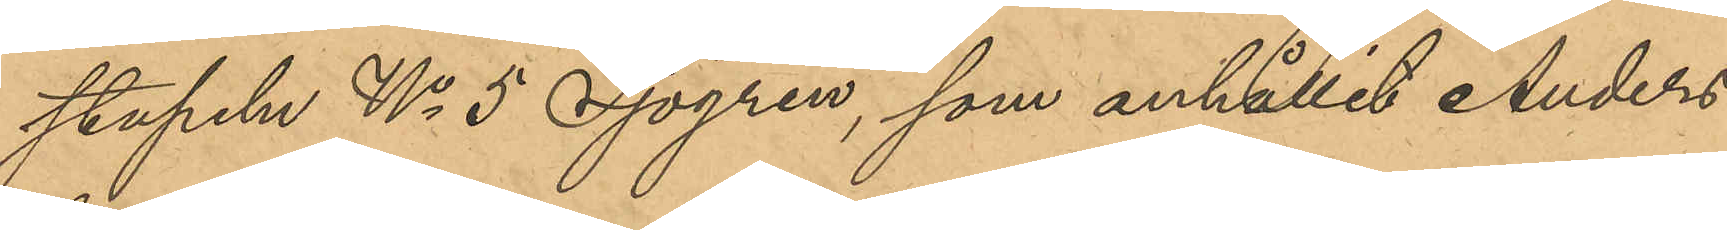stapeln No 5 Sjögren, som anhållit Anders¬
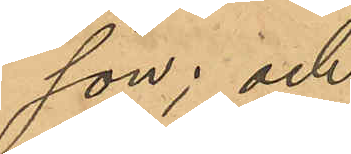son; och
